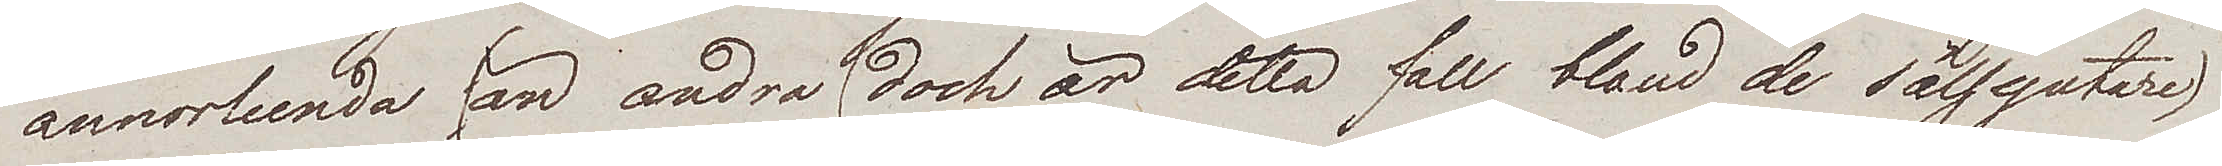annorlunda an andra (dock är detta fall bland de sälsyntare)
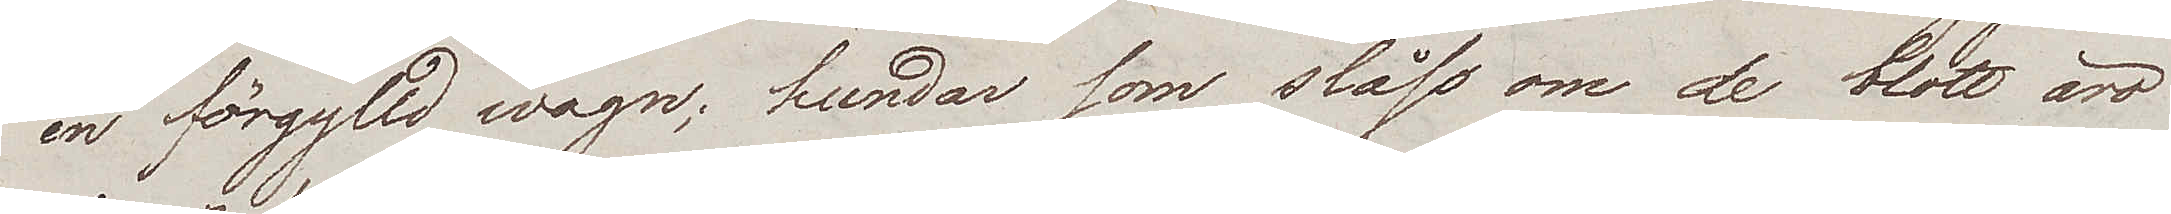en förgylld wagn; hundar som slåss om de blott äro
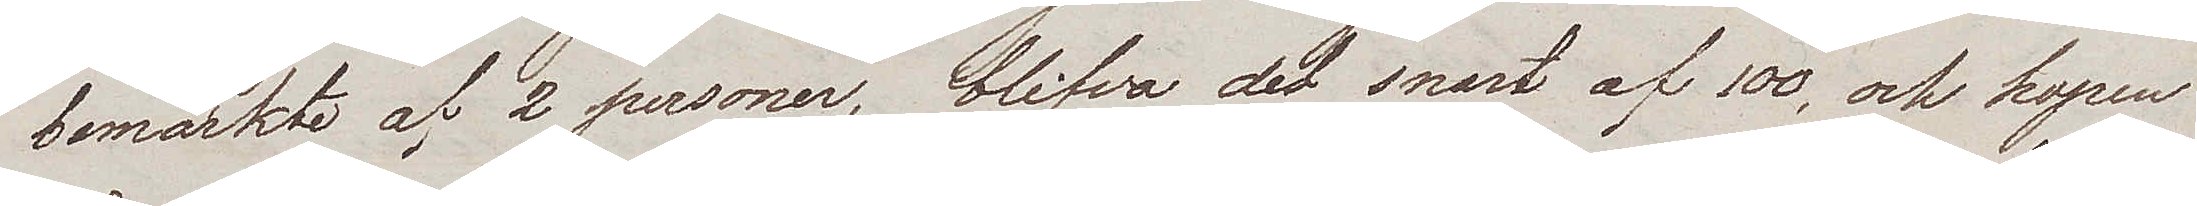bemärkte af 2 personer, blifva det snart af 100, och hopen
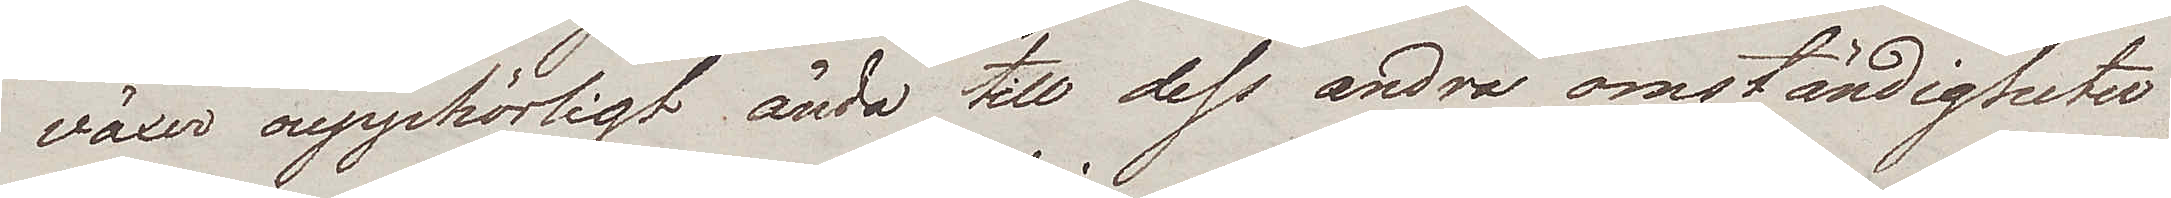växer oupphörligt ända till dess andra omständigheter
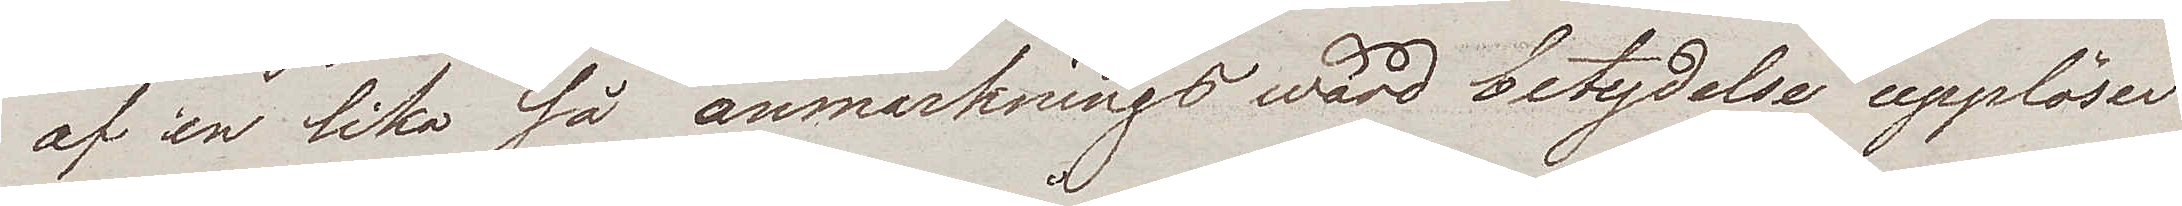af en lika så anmärkningswärd betydelse upplöser
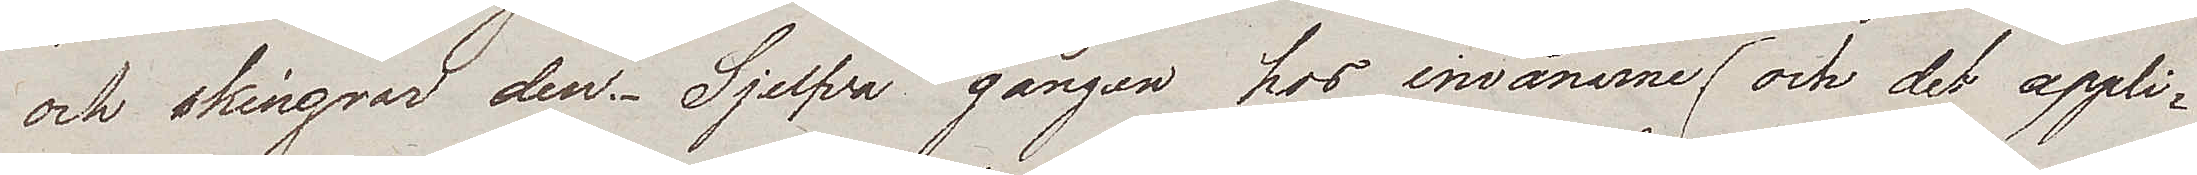och skingrar den.-  Sjelfva gången hos invånarne (och det appli¬
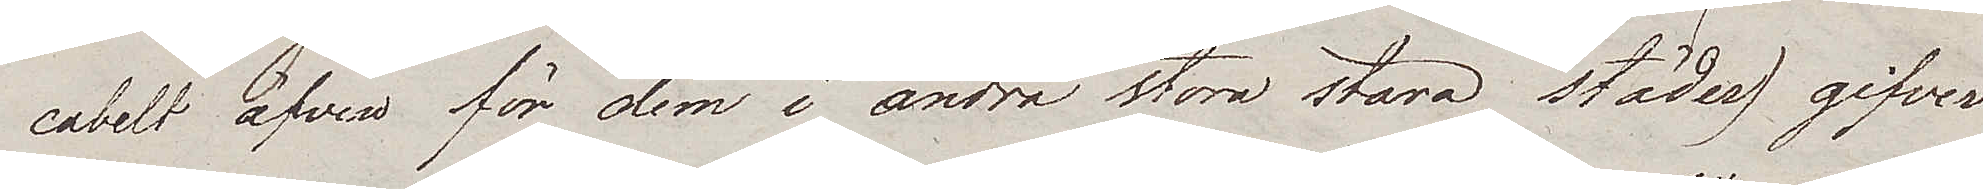cabelt äfven för dem i andra stora stora städer) gifver
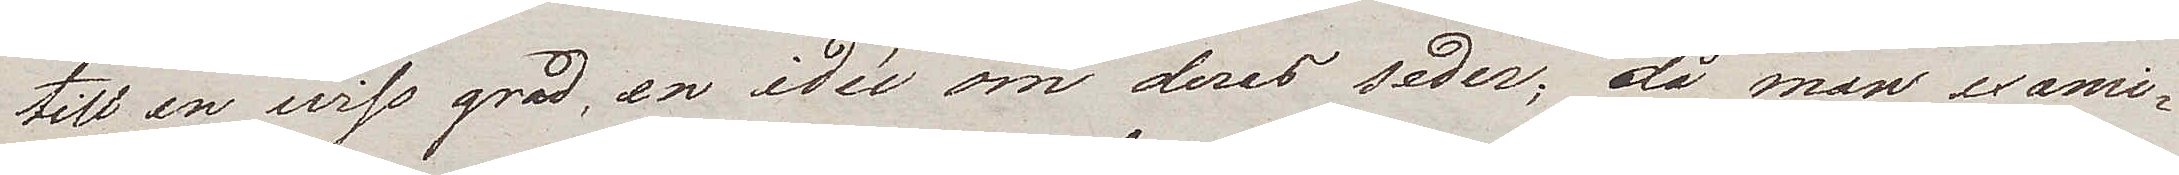till en wiss grad, en idéé om deras seder; då man exami¬
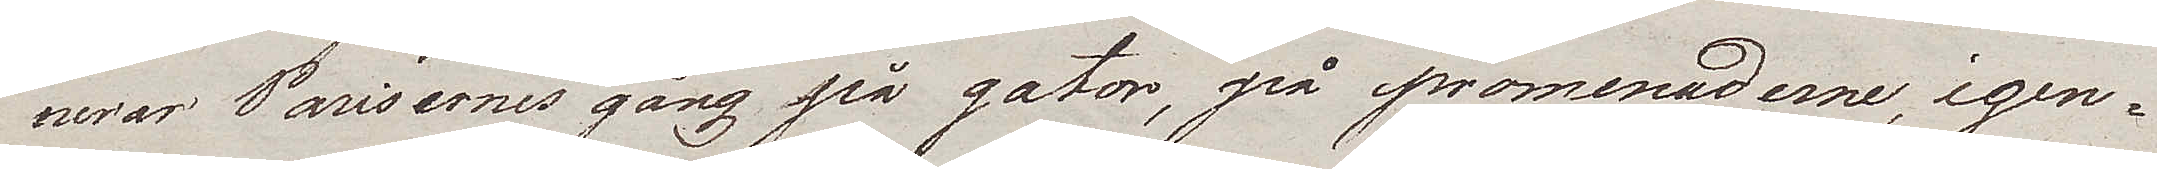nerar Parisernes gång på gator, på promenaderne, igen¬
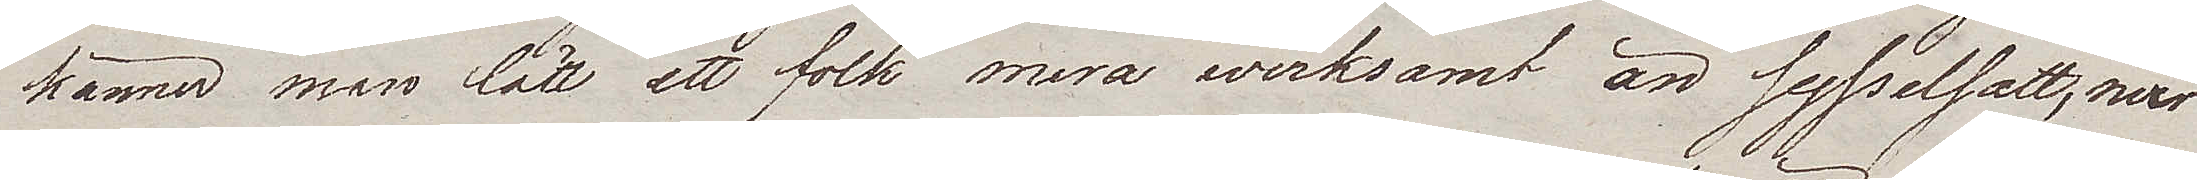känner man lätt ett folk mera werksamt än sysselsatt, mera
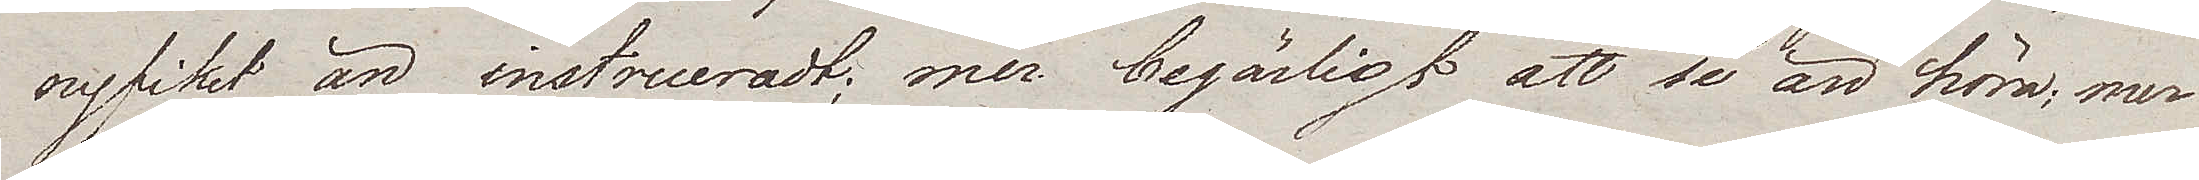nyfiket än instrueradt; mer begärlig att se än höra; mer
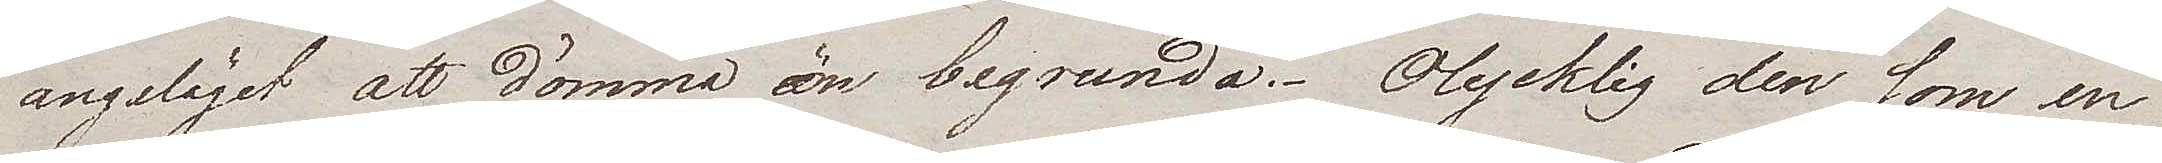angeläget att dömma än begrunda. Olycklig den som en
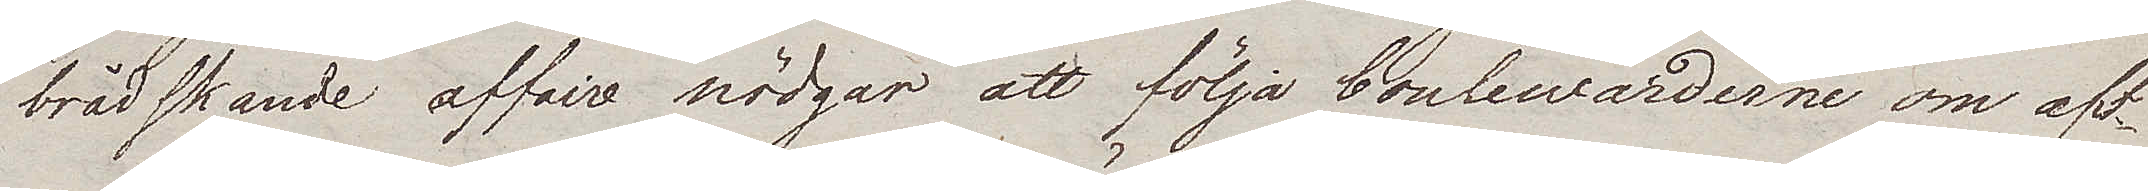brådskande affaire nödgar att följa boulewarderna om aft¬
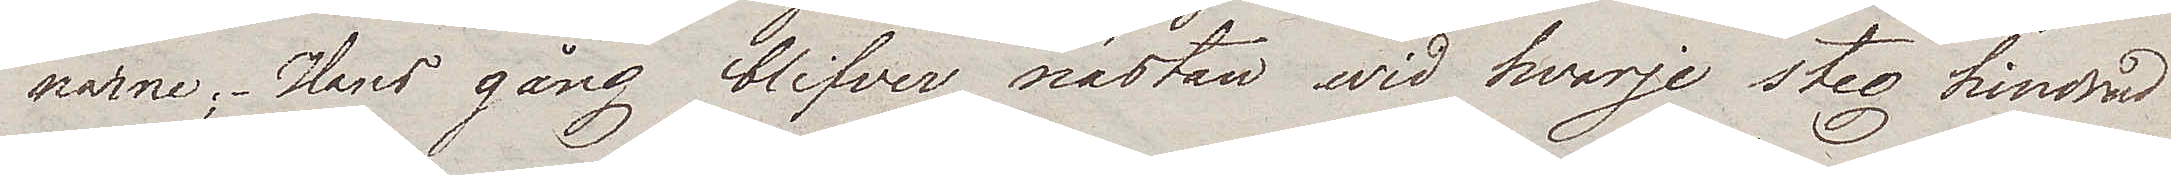narne; – Hans gång blifver nästan wid hvarje steg hindrad
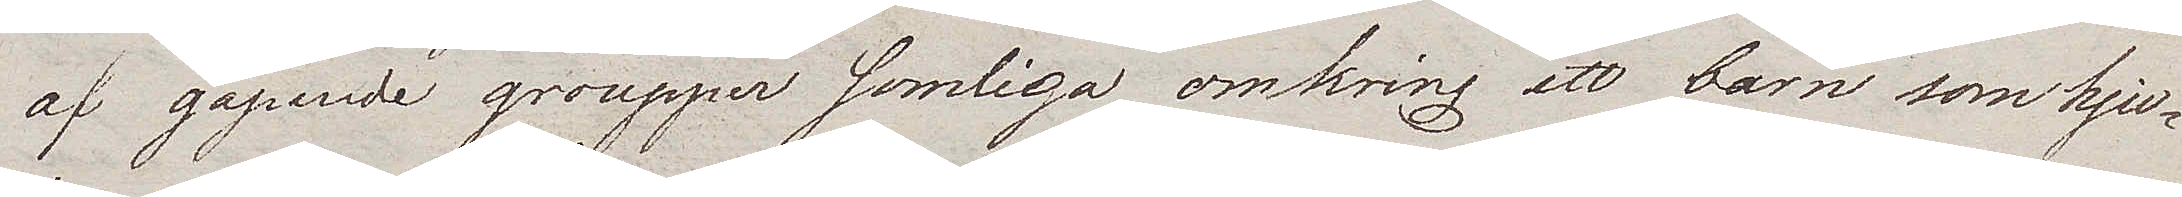af gapande groupper somliga omkring ett barn som hju¬
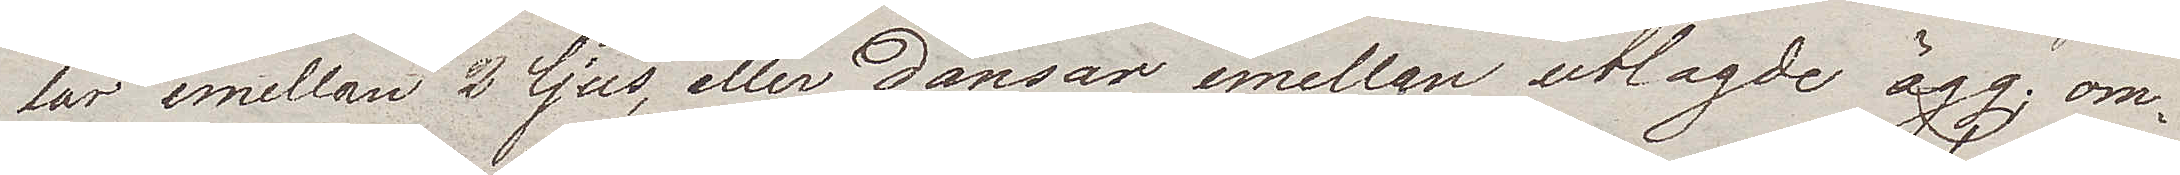lar emellan 2 ljus, eller dansar emellan utlagde ägg; om¬
